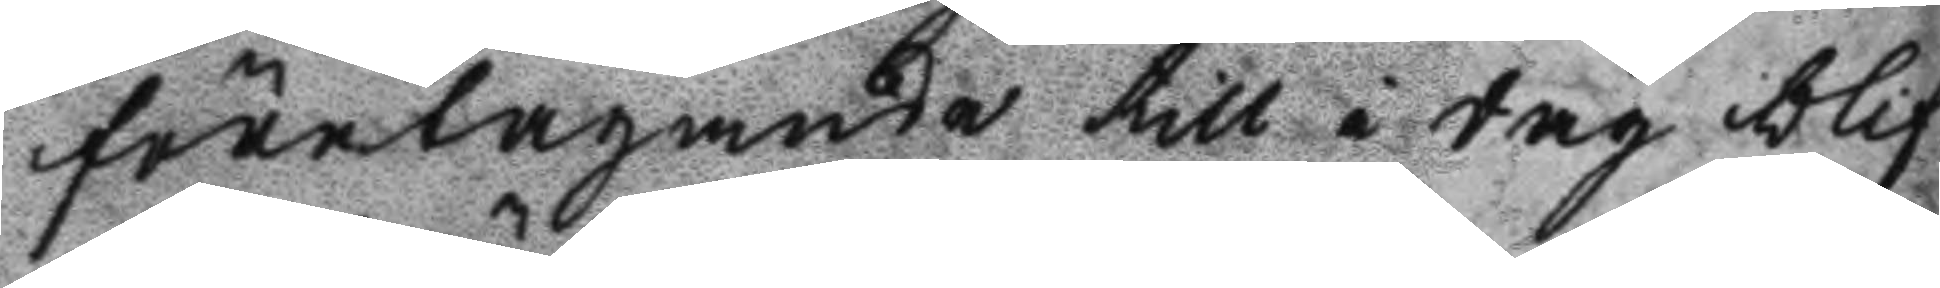företagande till i dag blif
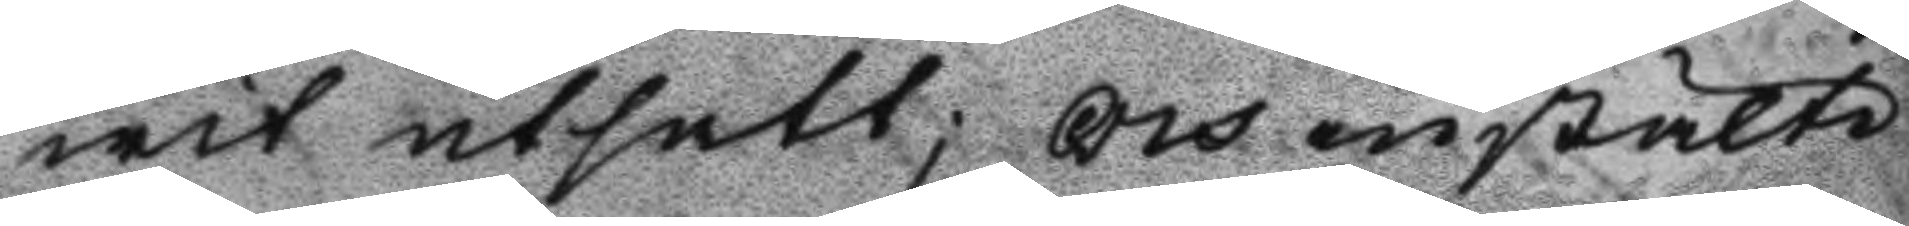wit utsatt; Och instälte
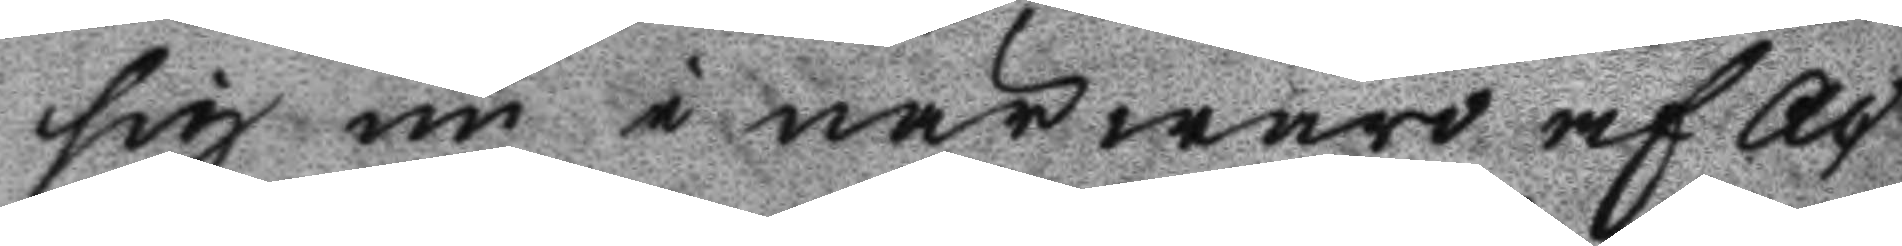sig nu i närwaro af Ac
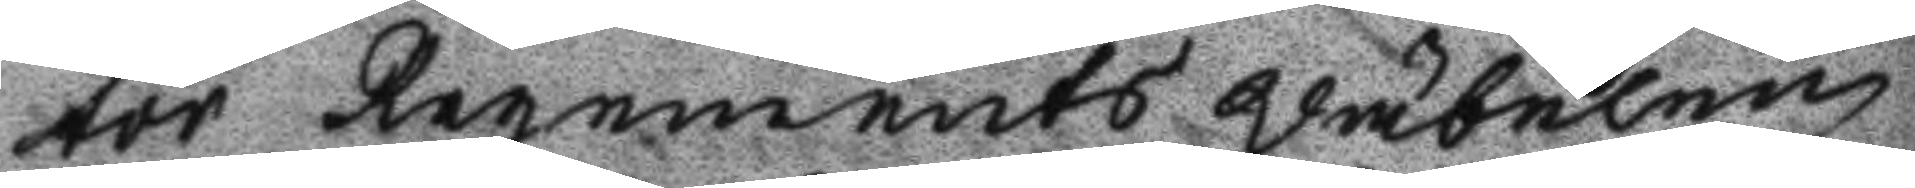tor Regements Wäbelen
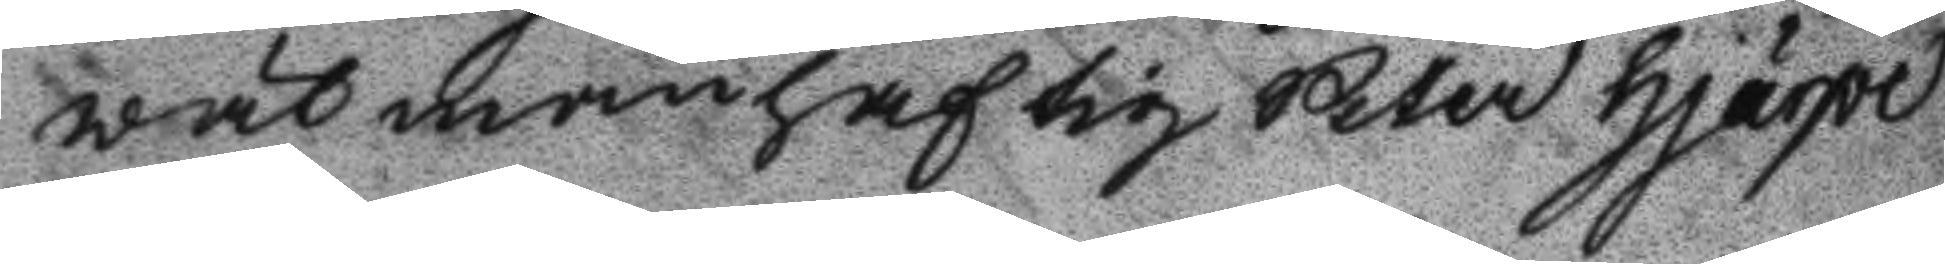wälmanhaftig Peter Hjärpe
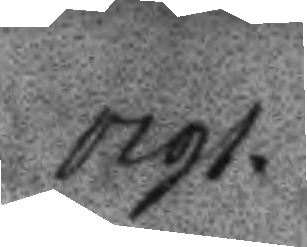1791.
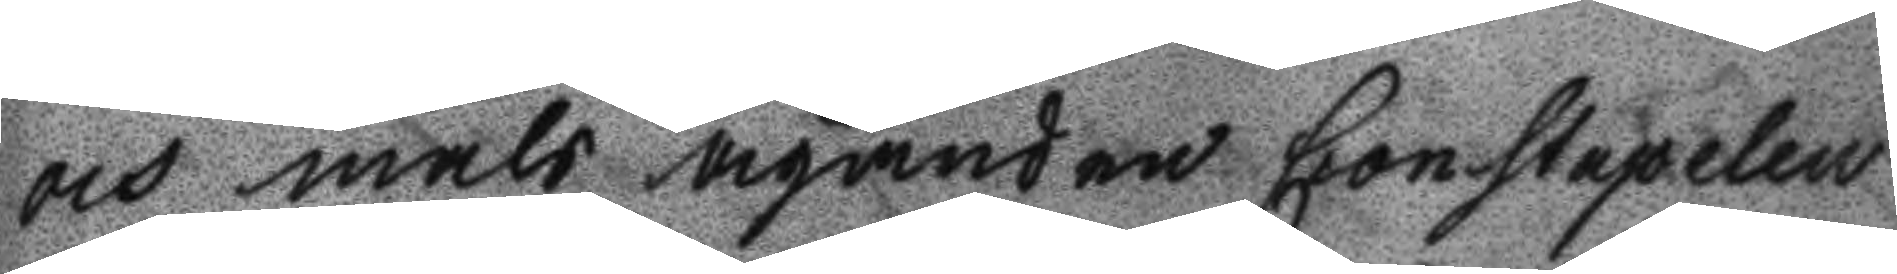och måls äganden Constapelen
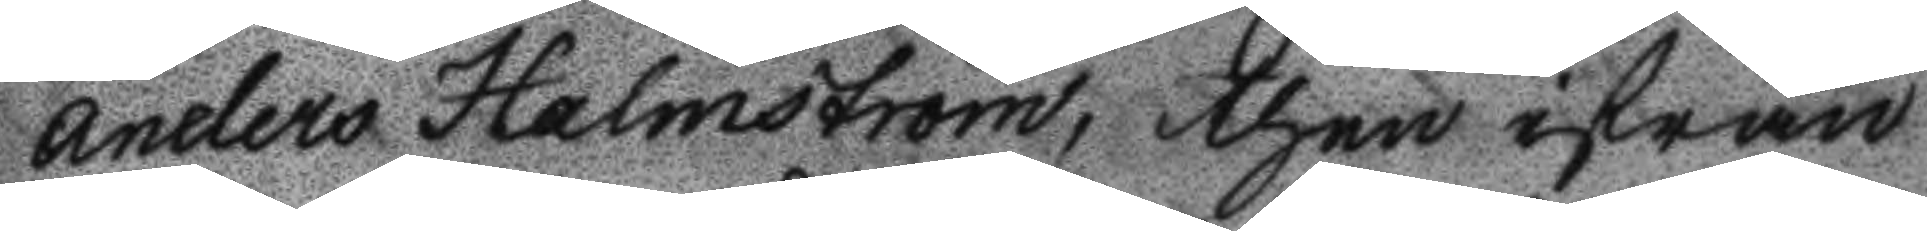Anders Holmström, then ifrån
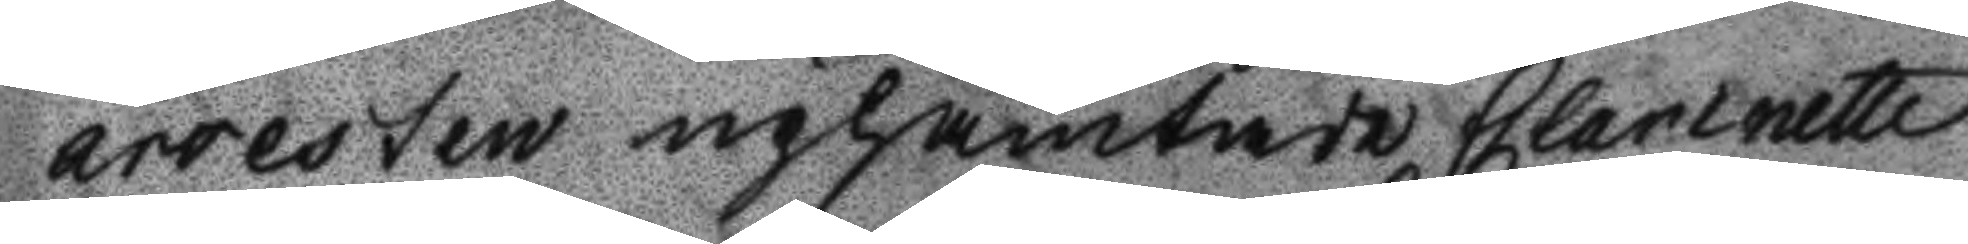arresten uphämtade Clarinette
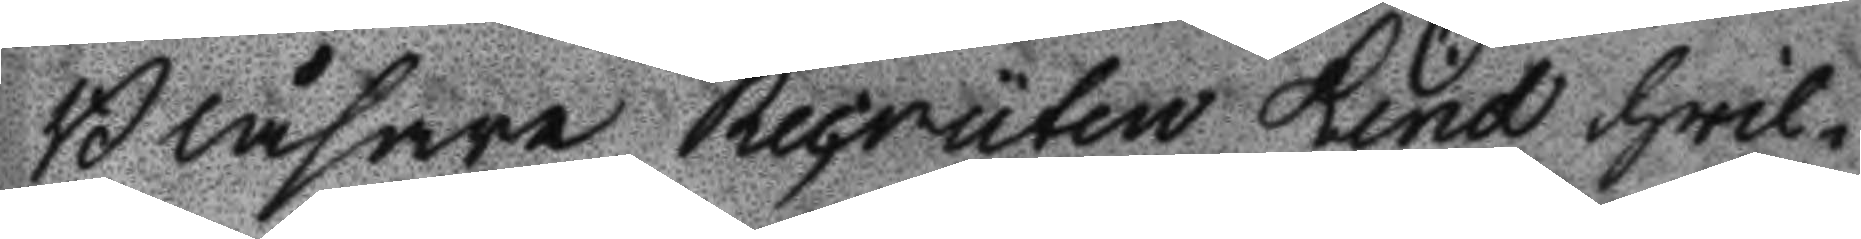Blåsaren Recruten Lind hwil¬
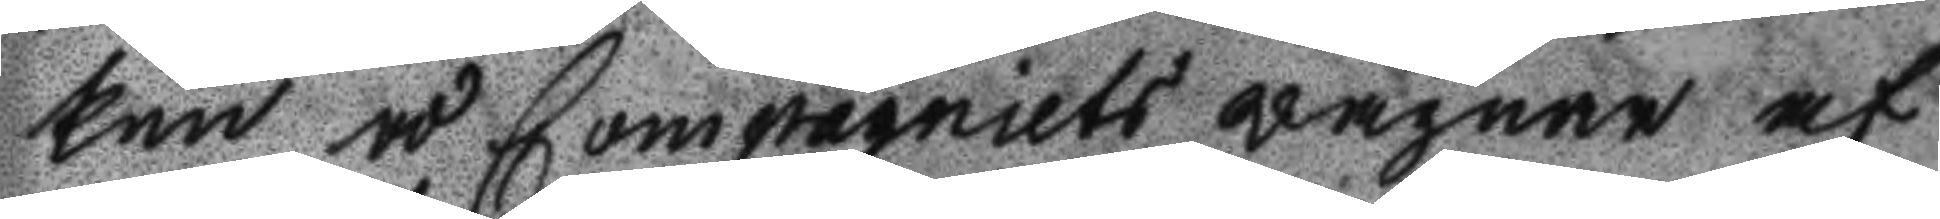ken å Compagniets wägnar af
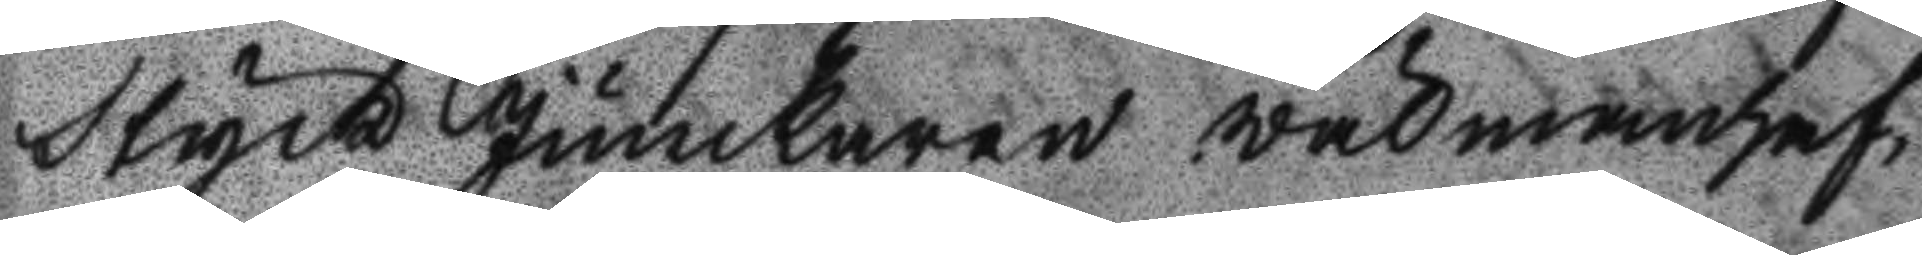Styck Junckaren wälmanhaf¬
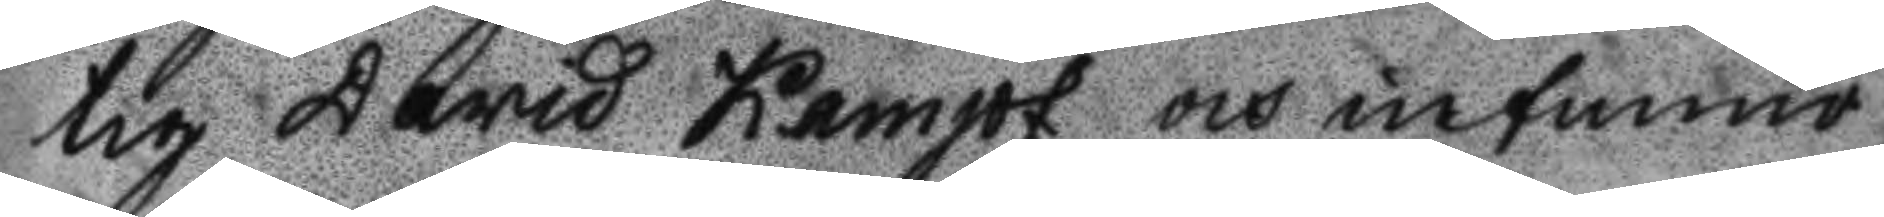tig David Kampf och infunno
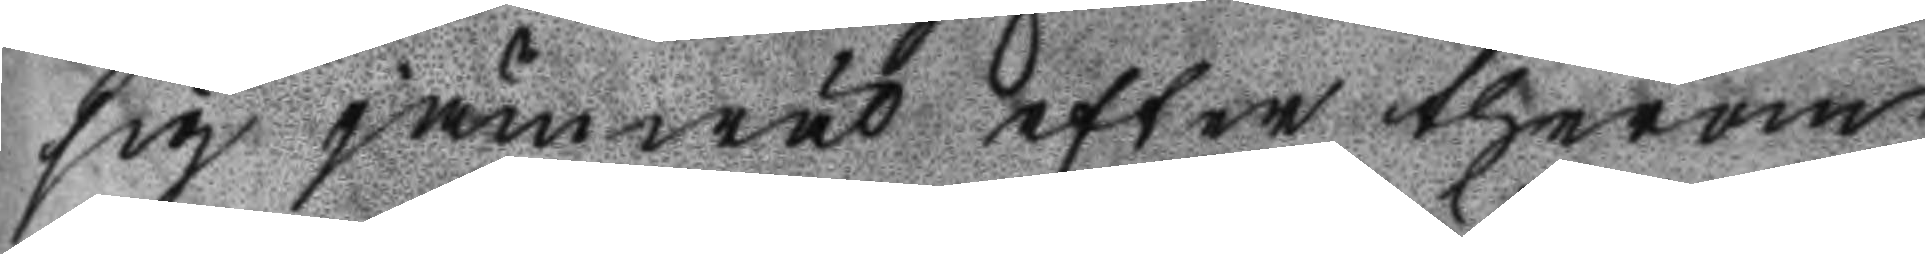sig jämwäl efter therom
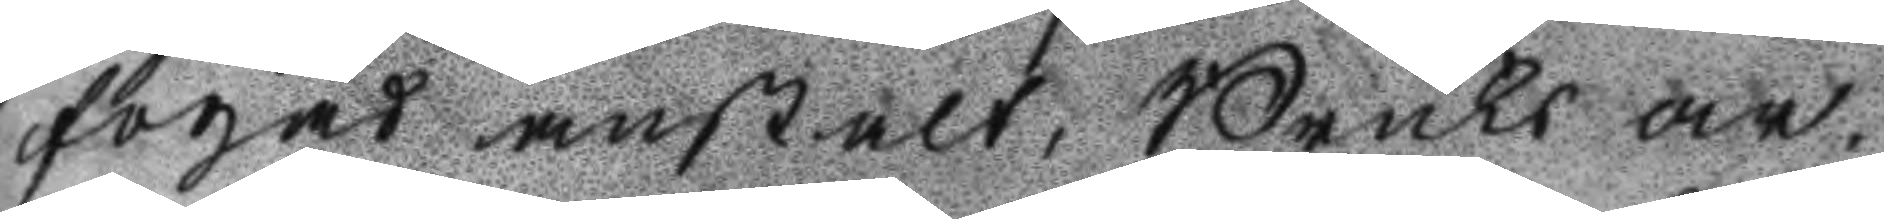fogad anstalt, Bruks ar¬
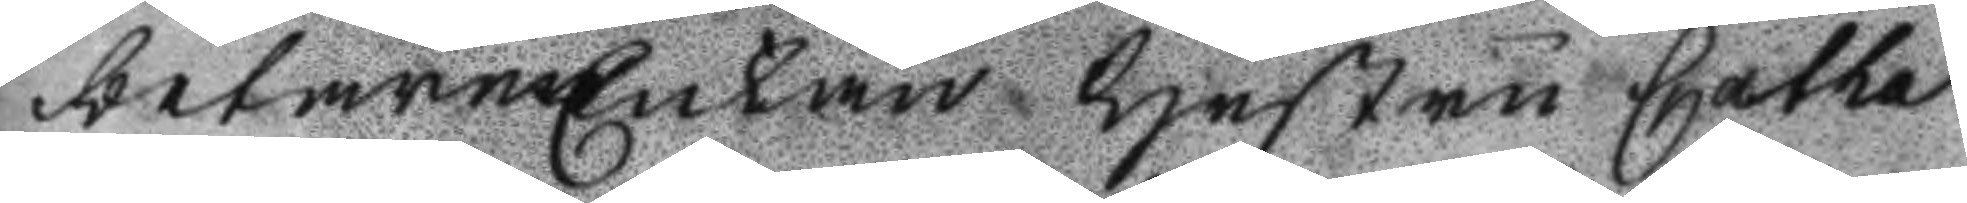betareEnkan Hustru Catha
